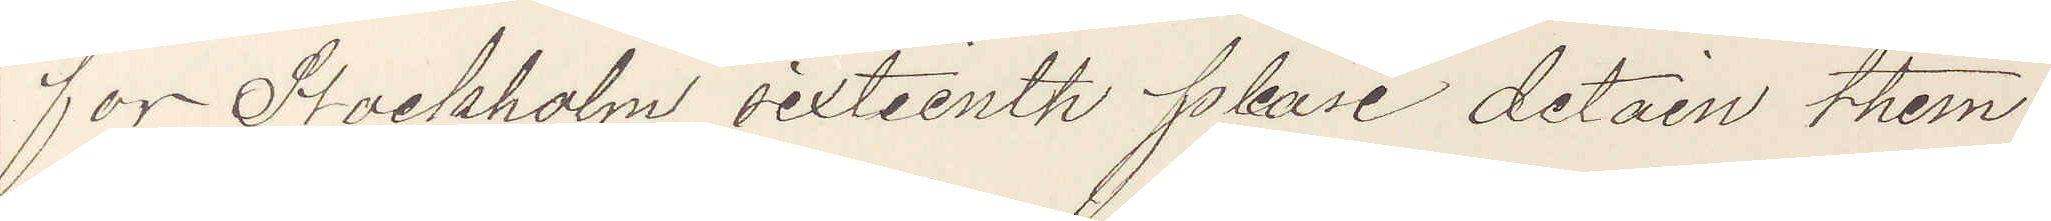for Stockholm sixteenth please detain them
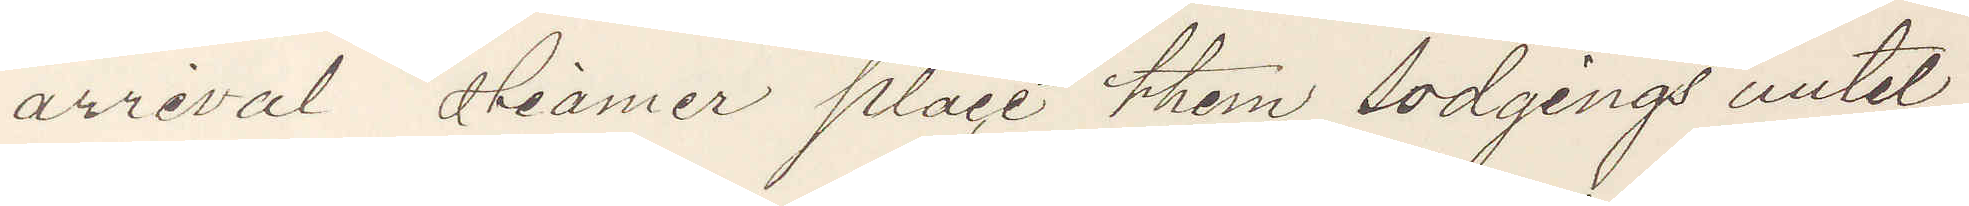arrival steamer place them lodgings until
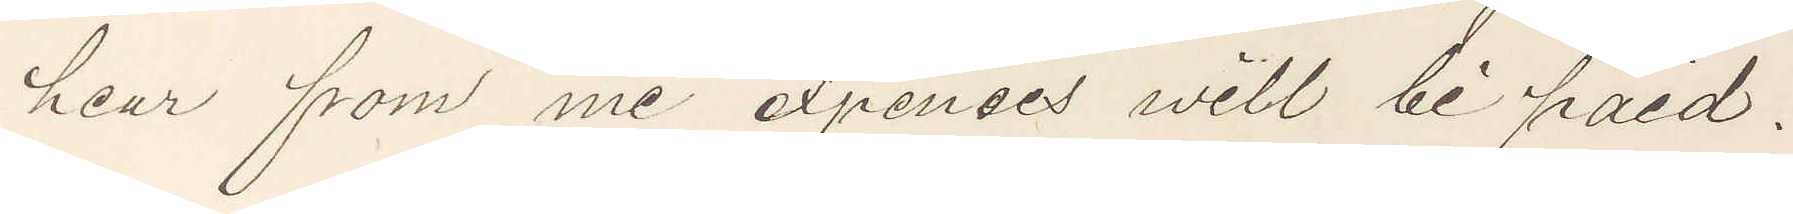hear from me expenses will be paid.
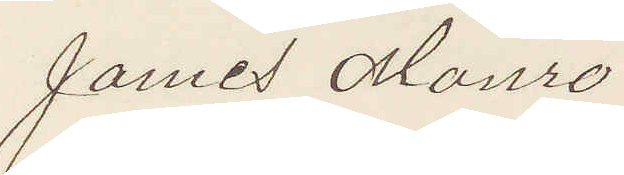James Monro
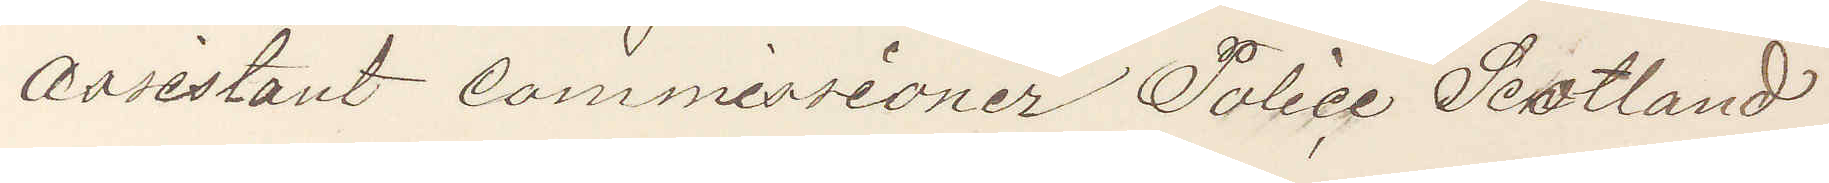assistant commissioner Police Scotland
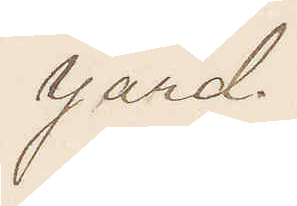Yard.
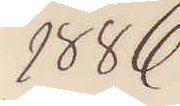1886
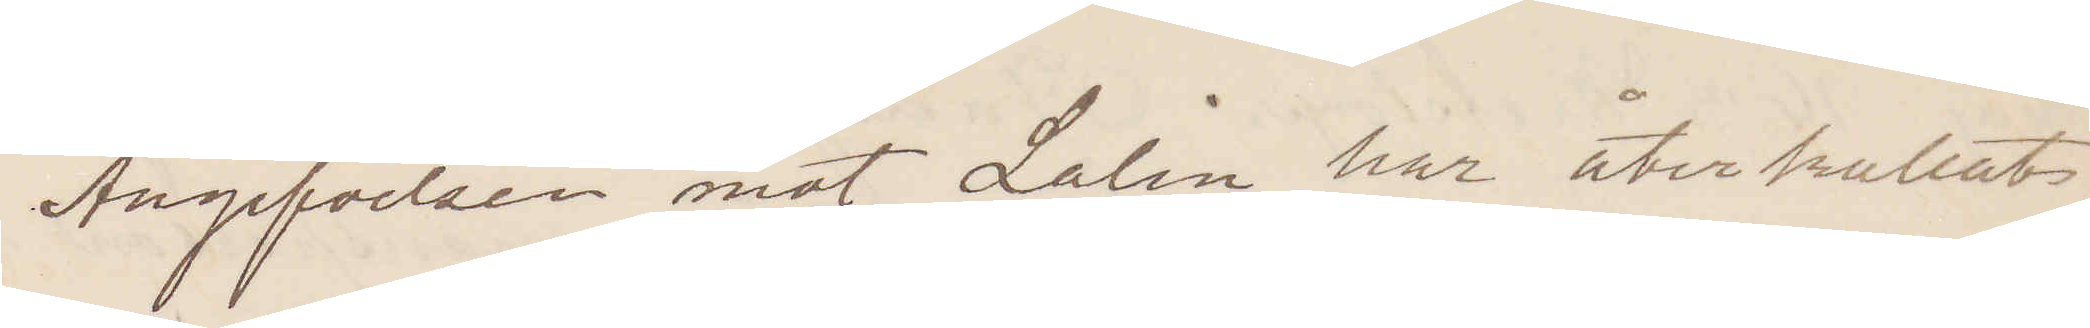Angifvelsen mot Lalén har återkallats
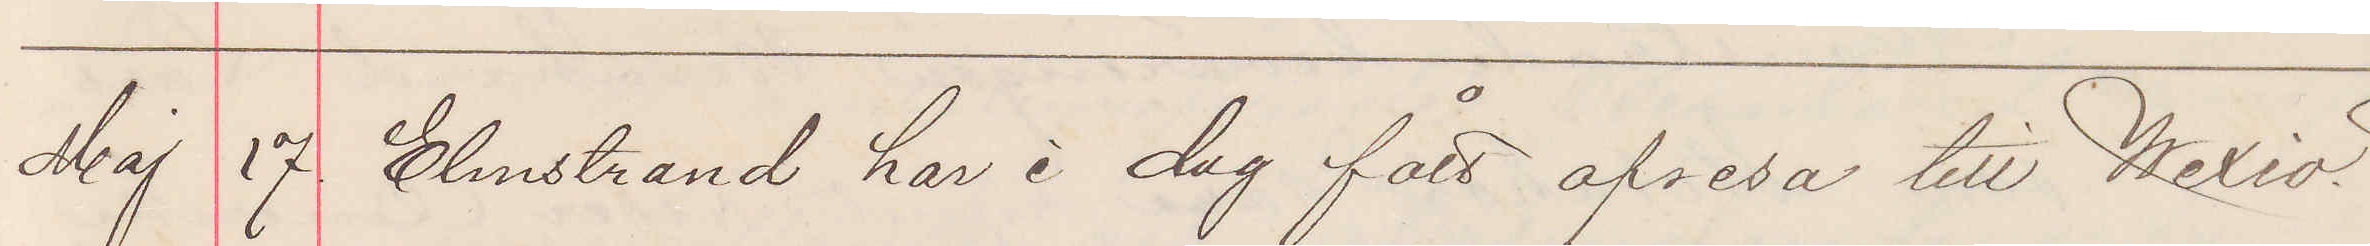Maj 17 Elmstrand har i dag fått afresa till Wexiö.
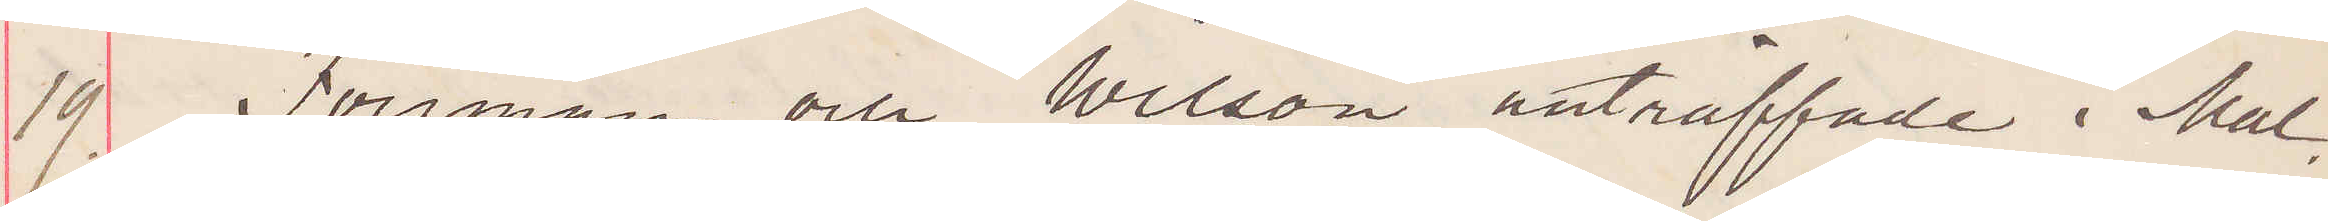19 Forsman och Wilson anträffade i Mal¬
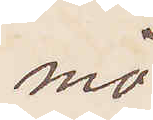mö.
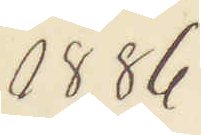1886.
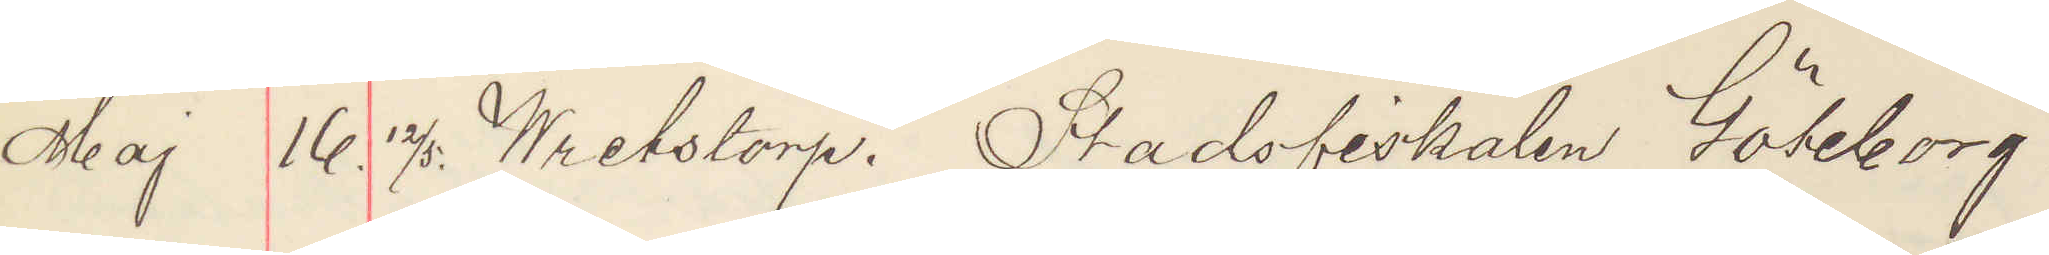Maj 16. 12/5. Wretstorp. Stadsfiskalen Göteborg.
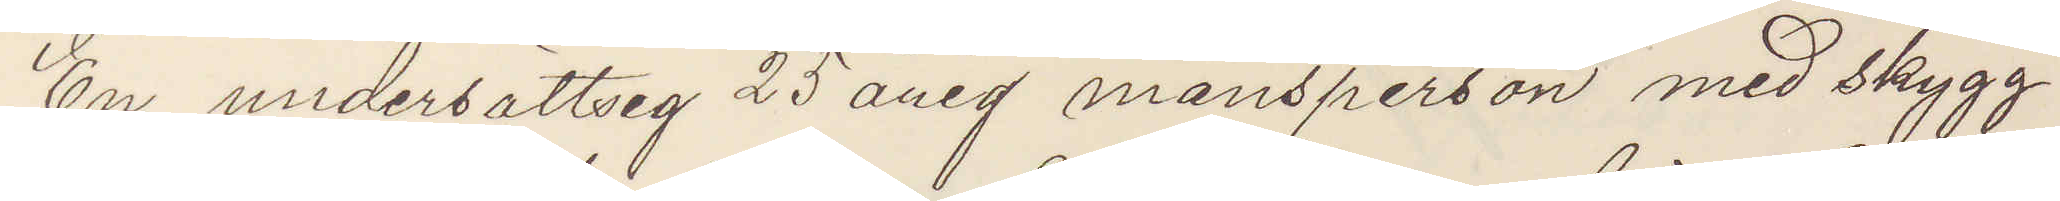En undersättsig 25 årig mansperson med skygg
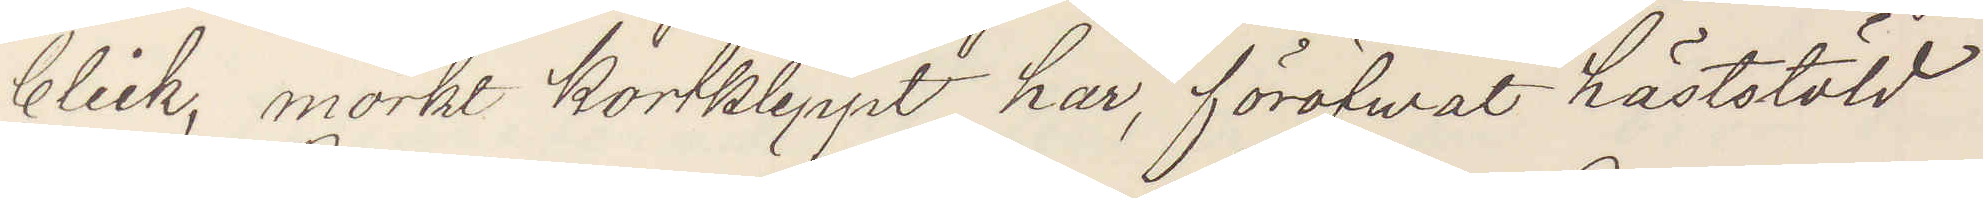blick, mörkt kortklippt hår, föröfvat häststöld
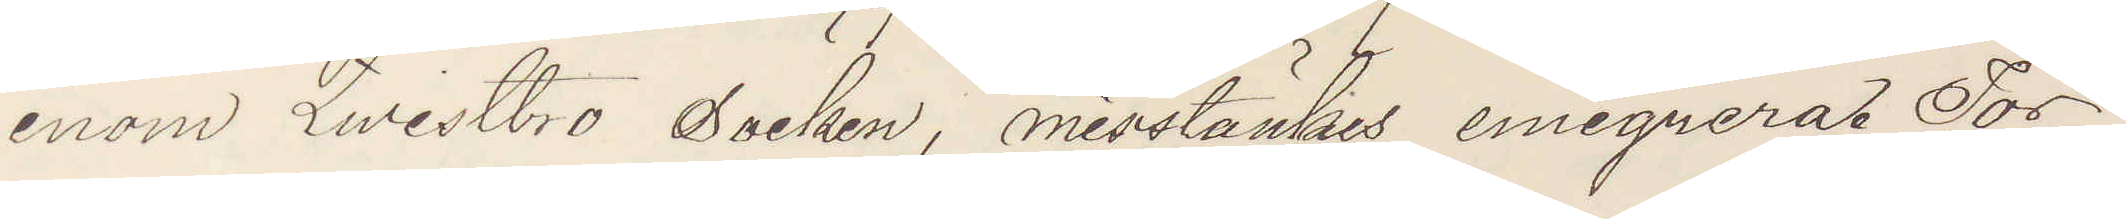inom Qwistbro Socken, misstänkes emigrera. Tor¬
